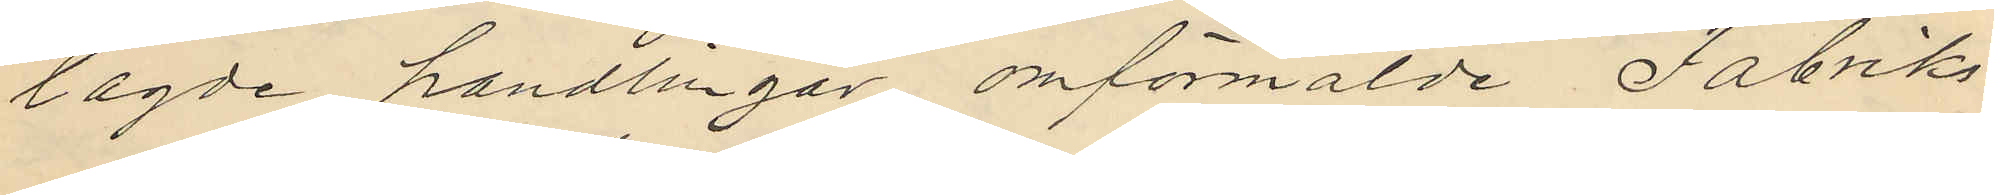lagde handlingar omförmälde Fabriks¬
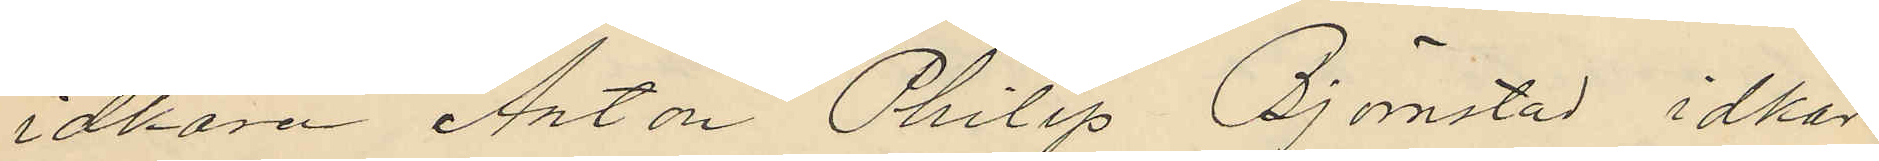idkaren Anton Philip Björnstad idkar
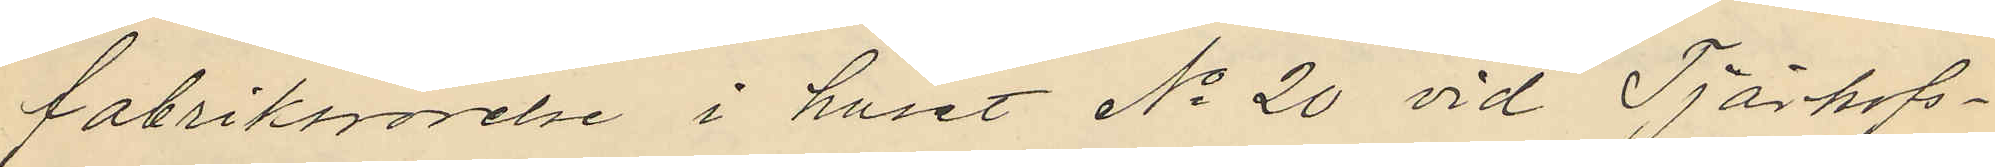fabriksrörelse i huset No 20 vid Tjärhofs¬
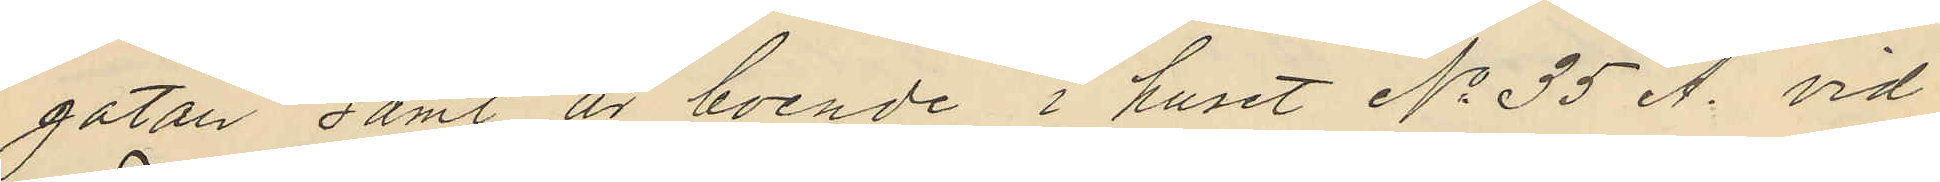gatan samt är boende i huset No 35 A. vid
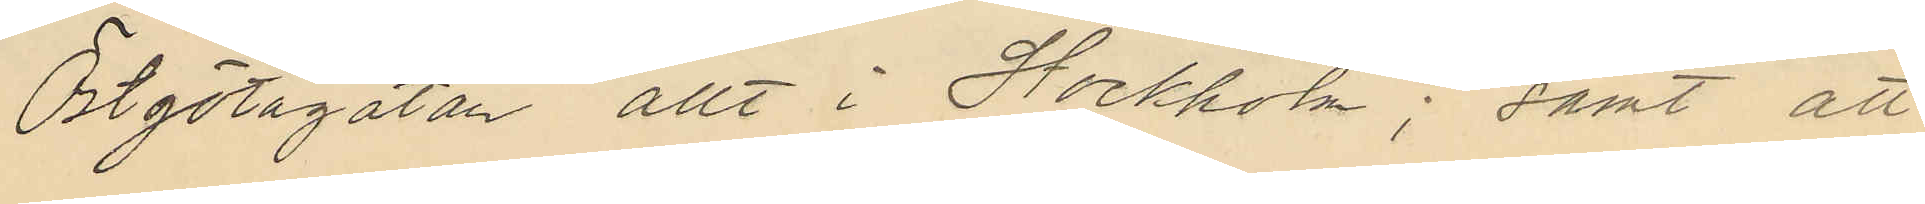Östgötagatan allt i Stockholm; samt att
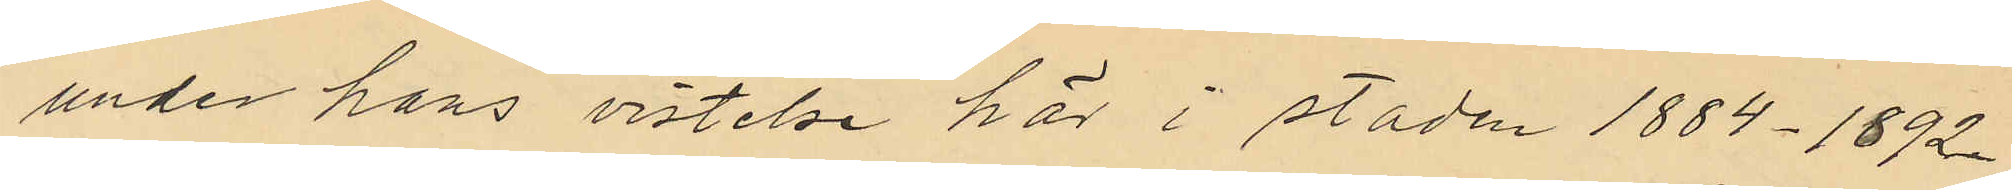under hans vistelse här i staden 1884-1892
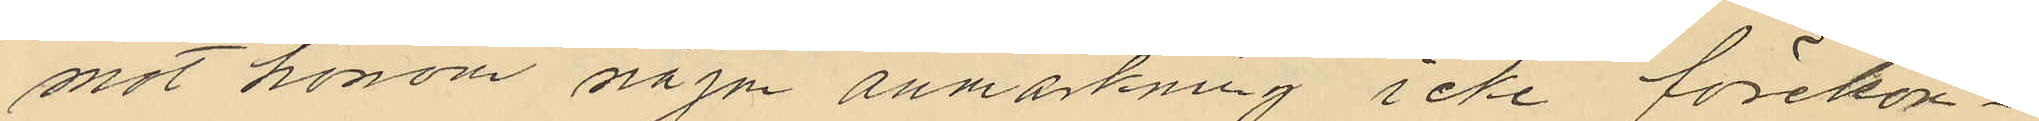mot honom någon anmärkning icke förekom¬
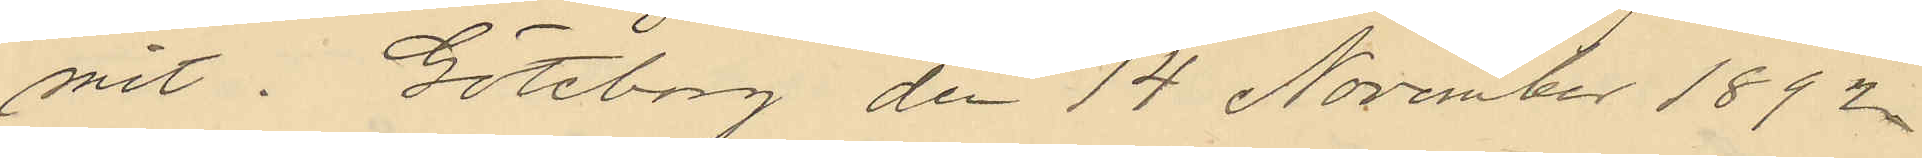mit. Göteborg de 14 November 1892.
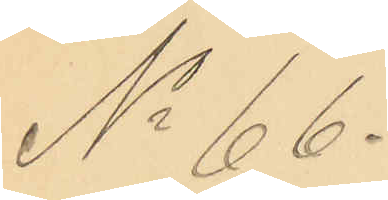No 66.
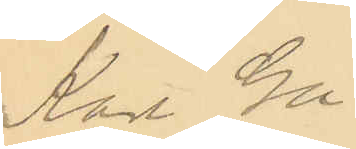Karl Gu¬
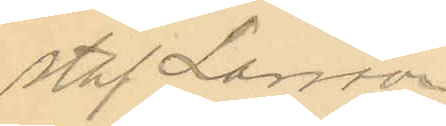staf Larsson.
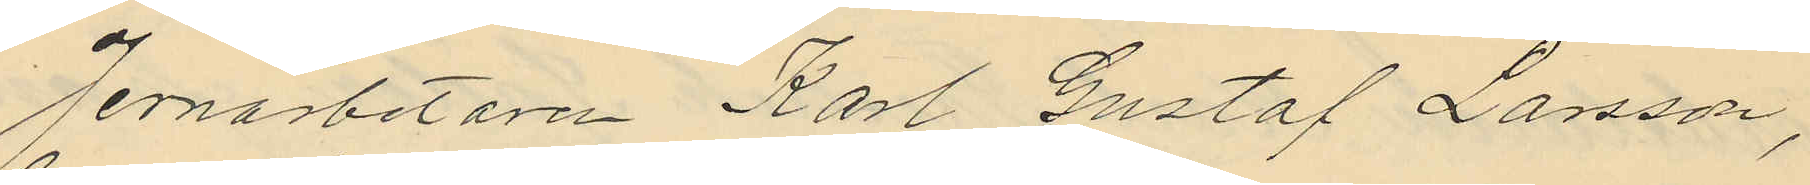Jernarbetaren Karl Gustaf Larsson,
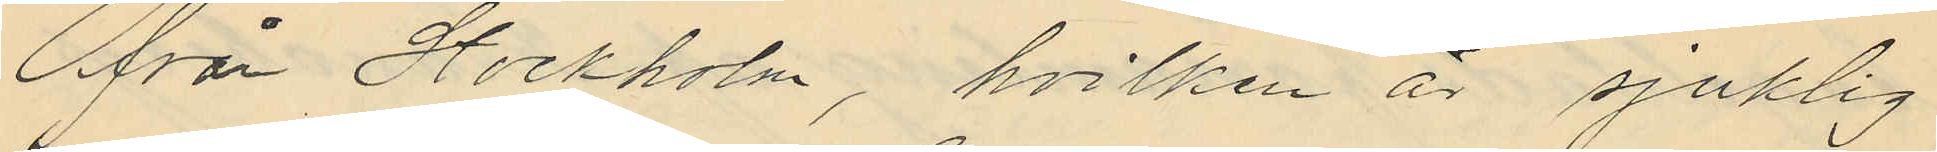från Stockholm, hvilken är sjuklig
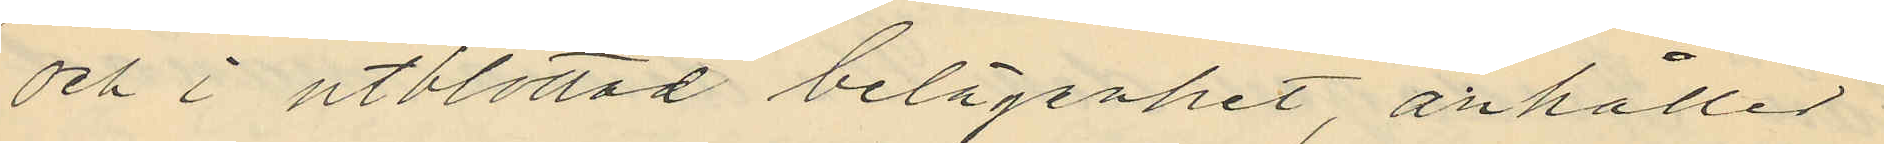och i utblottad belägenhet anhåller
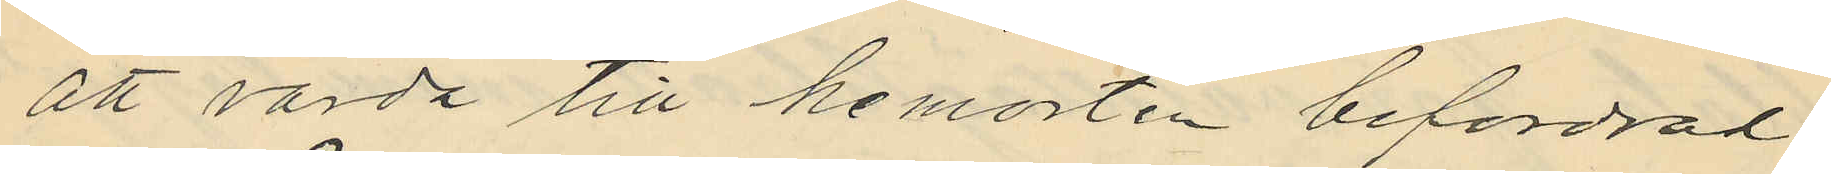att varda till hemorten befordrad.
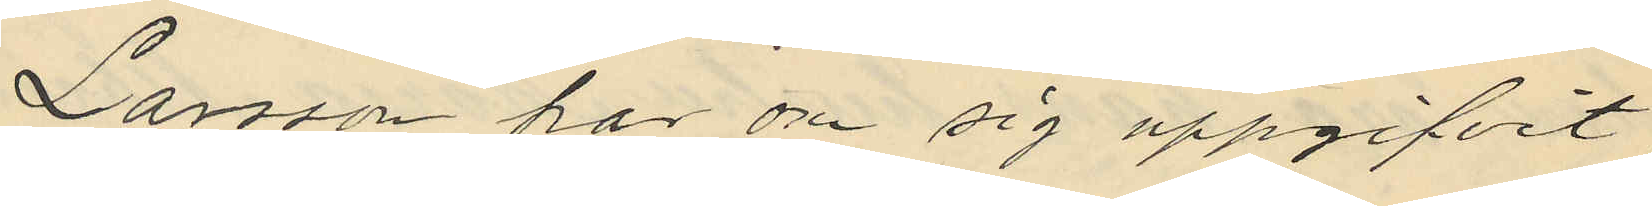Larsson har om sig uppgifvit
